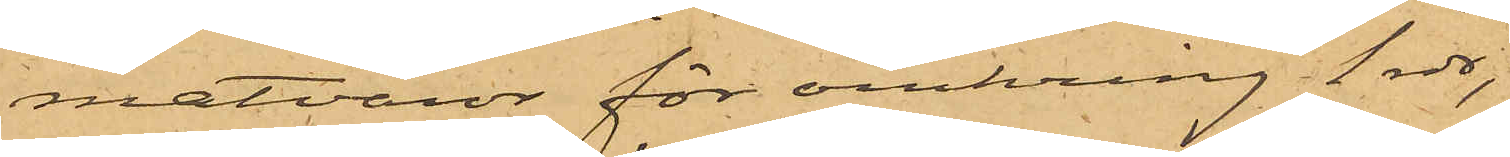matvaror för omkring 1 rdr;
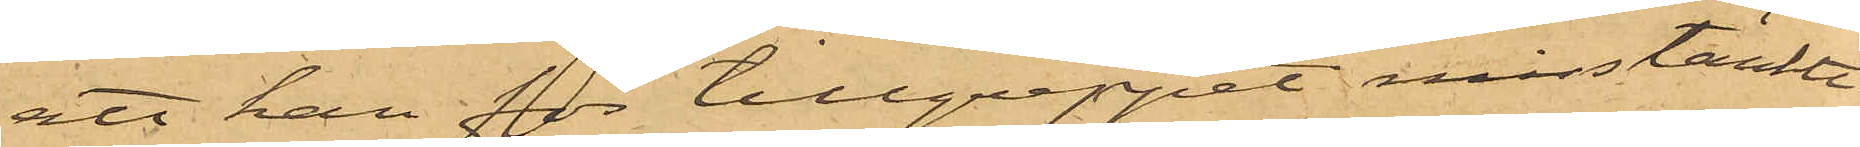att han för tillgreppet misstänkte
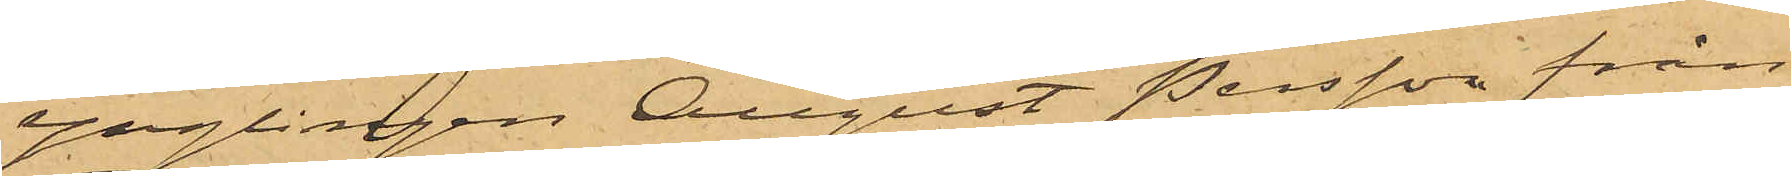Ynglingen August Persson från
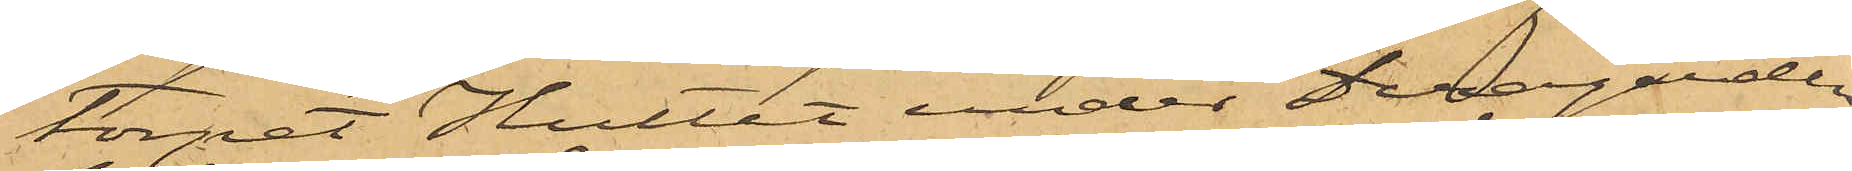torpet Hultet under Deragården
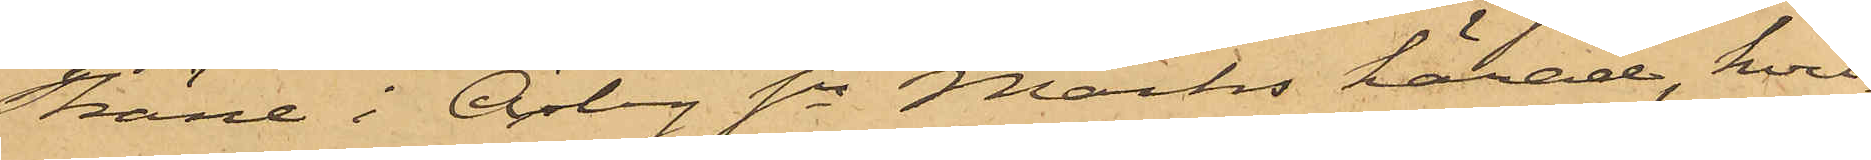Skäne i Örby Sn Marks härad, hvil¬
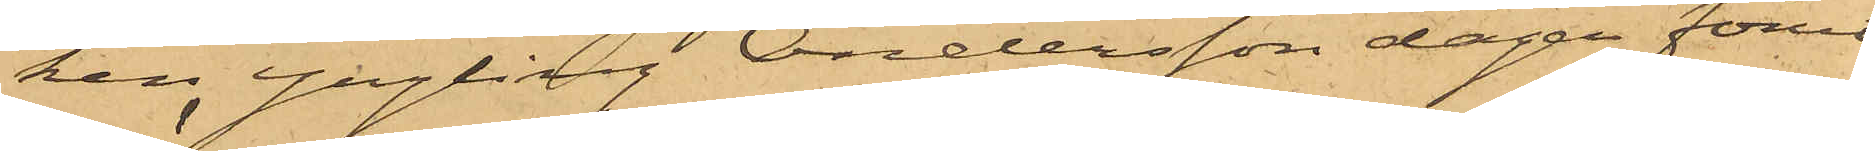ken yngling Andersson dagen förut
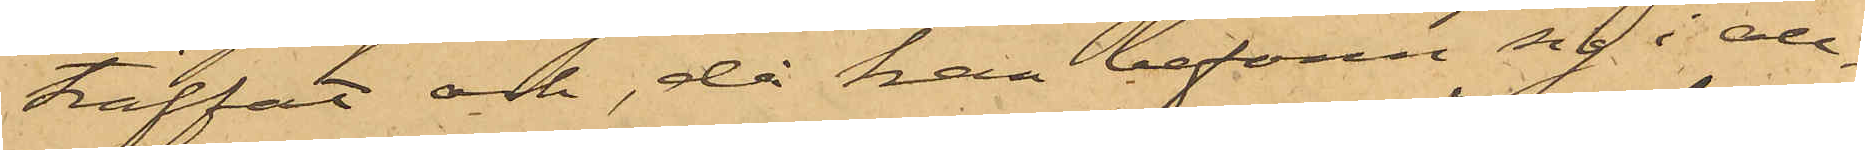träffat och, då han befann sig i all¬
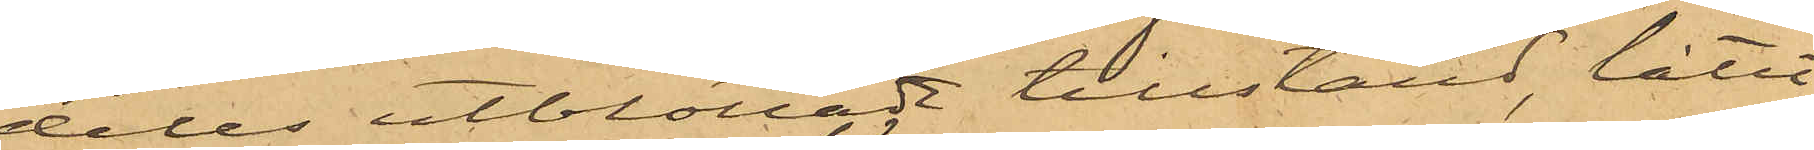deles utblottadt tillstånd, låtit
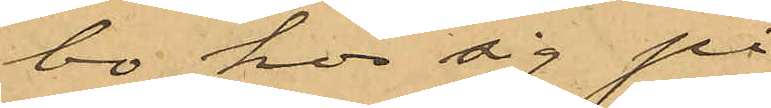bo hos sig på
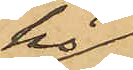hö¬
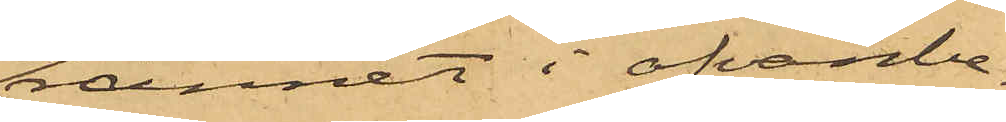rännet i ofvanbe¬
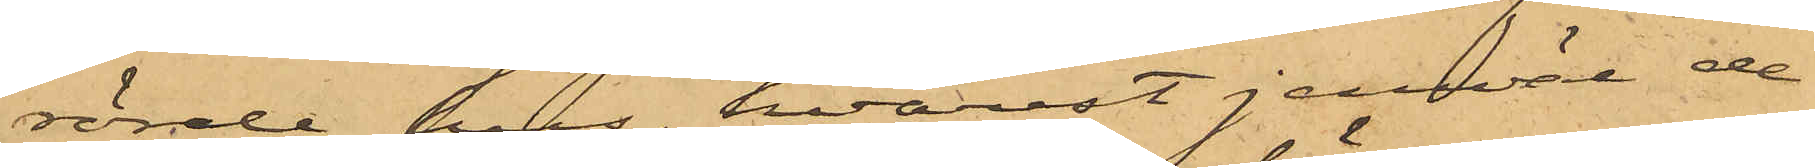rörde hus, hvarest jemväl de
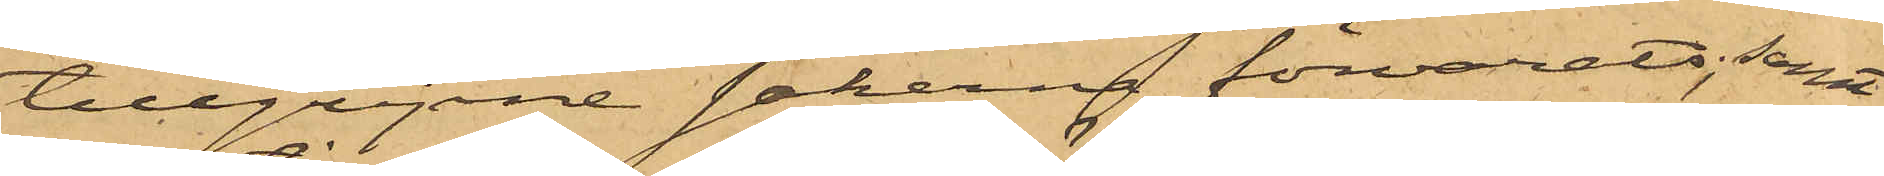tillgripne sakerna förvarats; samt
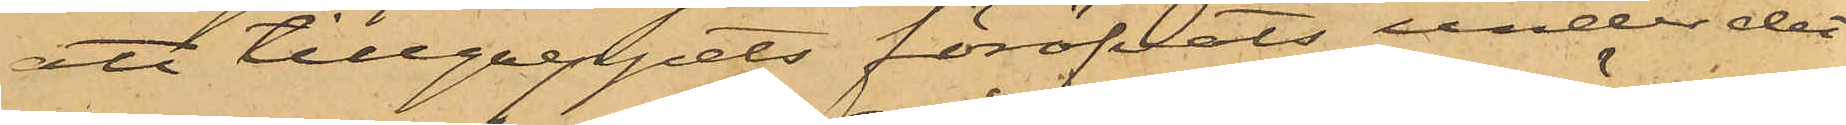att tillgreppets föröfvats under det
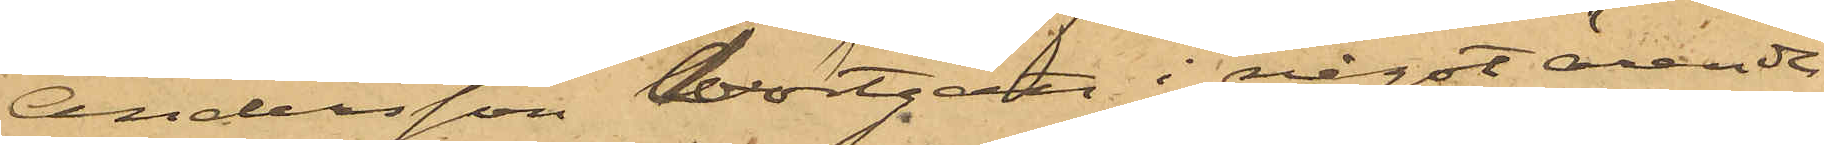Andersson bortgått i något ärende
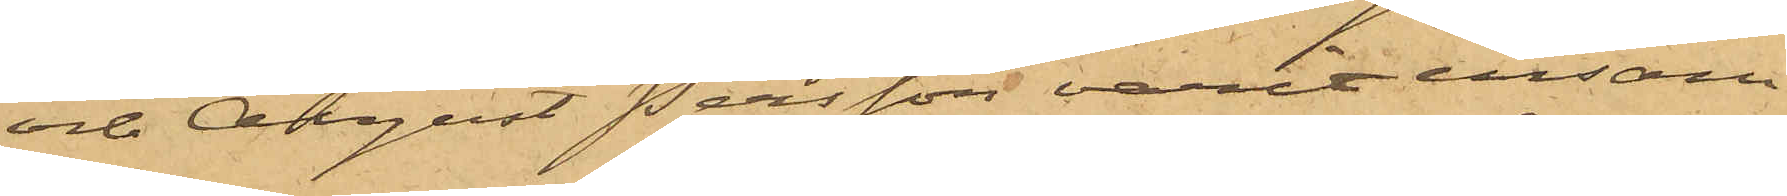och August Persson varit ensam
